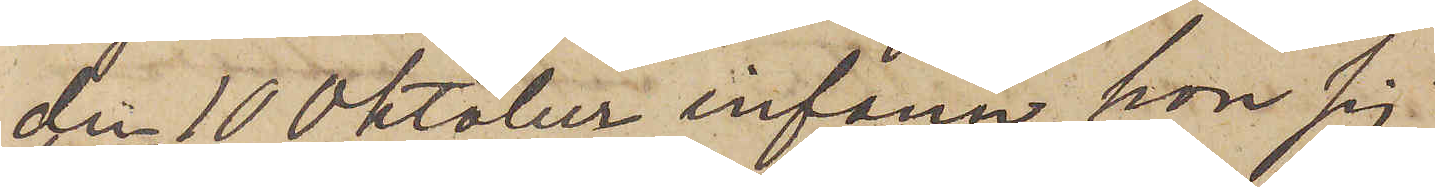den 10 Oktober infann hon sig
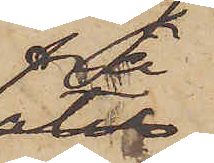på
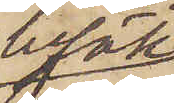besök
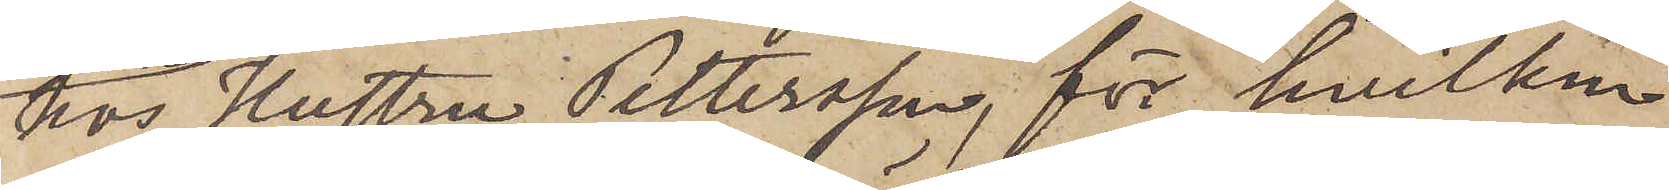hos Hustru Pettersson, för hvilken
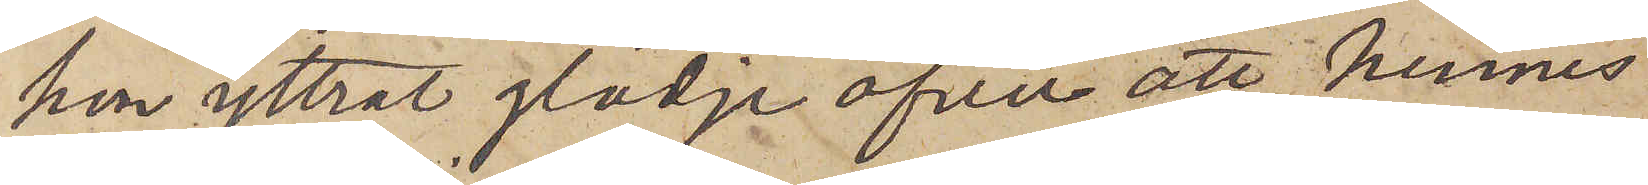hon yttrat glädje öfver att hennes
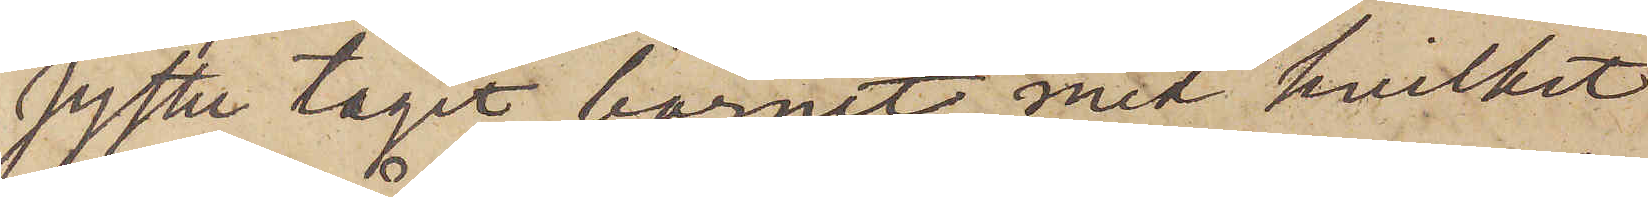syster tagit barnet, med hvilket
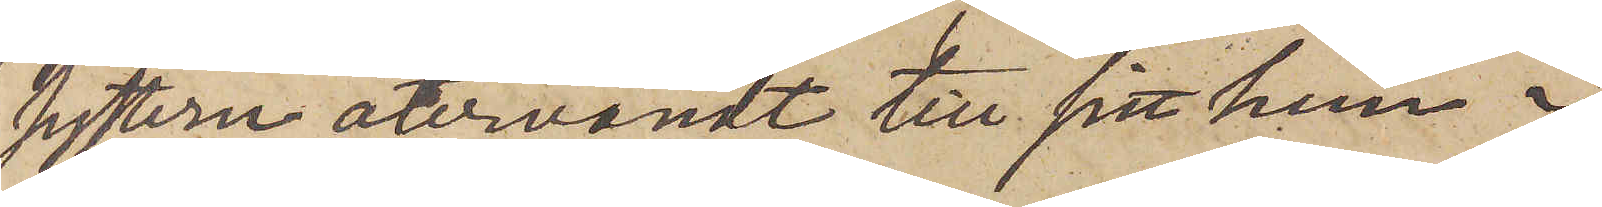systern återvändt till sitt hem i
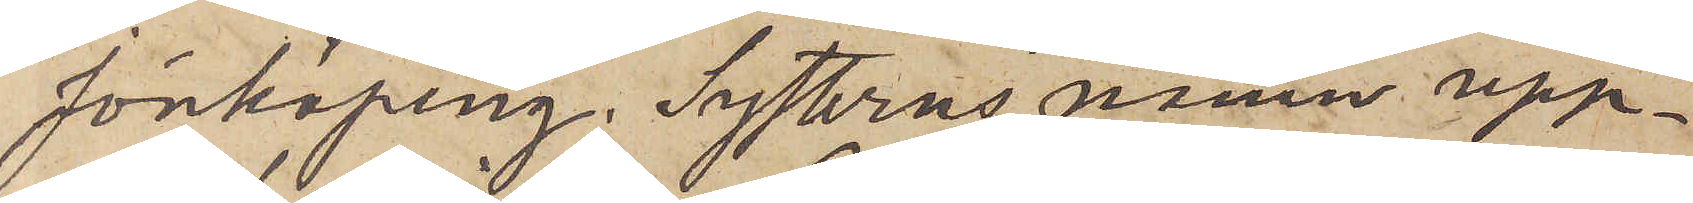Jönköping. Systerns namn upp¬
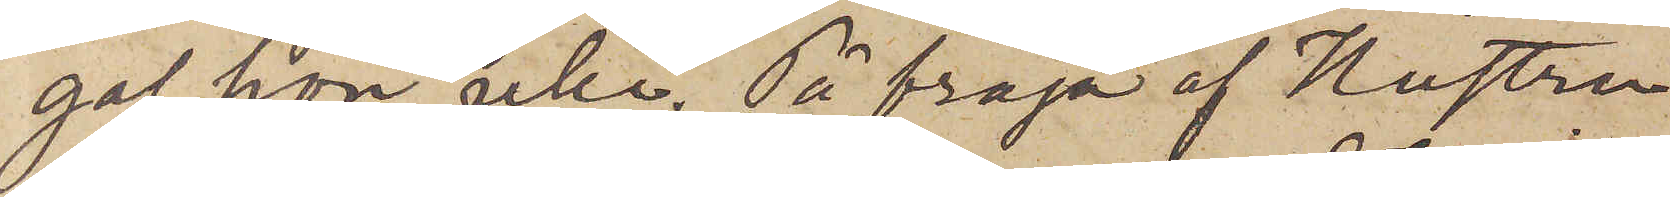gaf hon icke. På fråga af Hustru
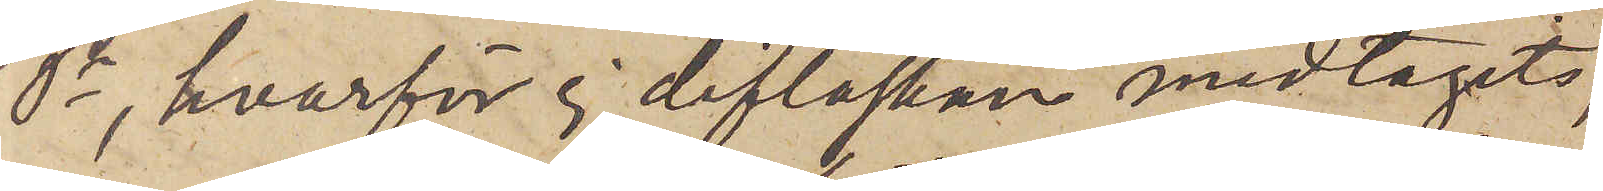P, hvarför ej diflaskan medtagits,
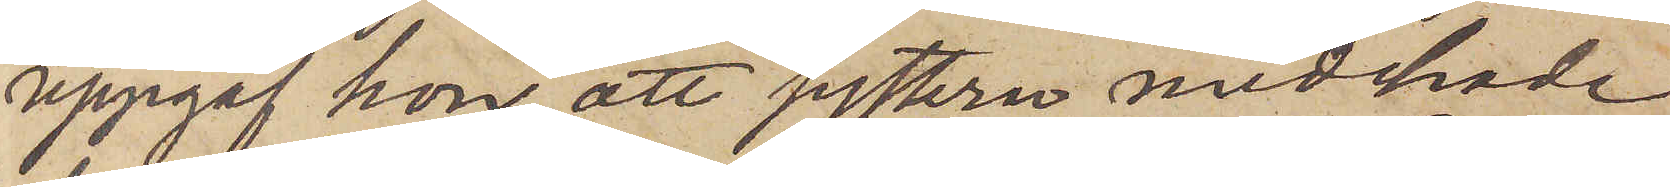uppgaf hon, att systern medhade
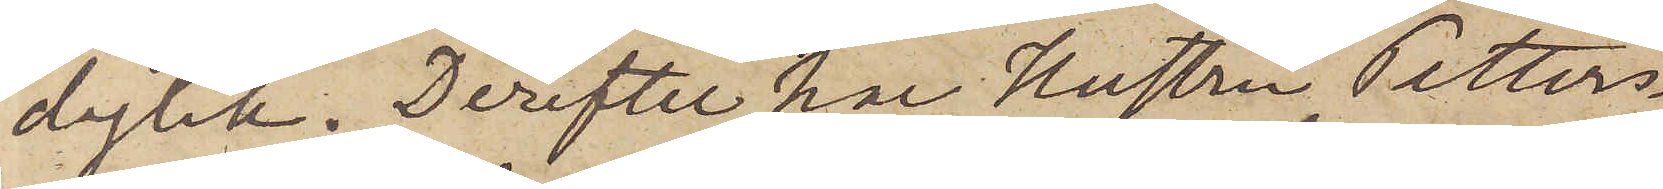dylik. Derefter har Hustru Petters¬
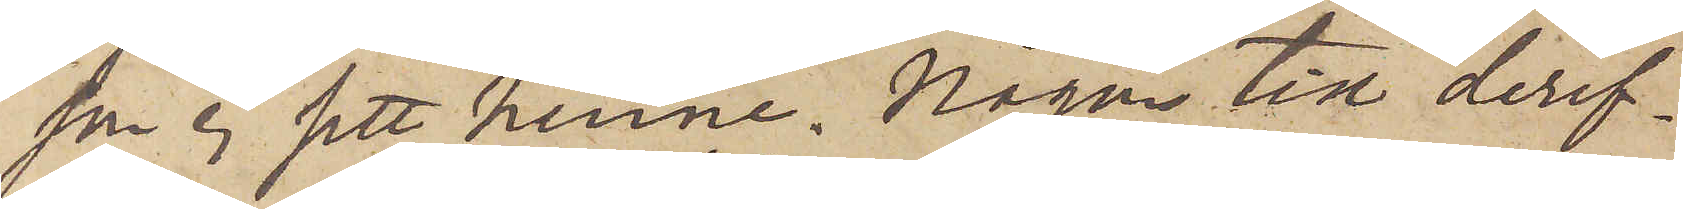son ej sett henne. Någon tid deref¬
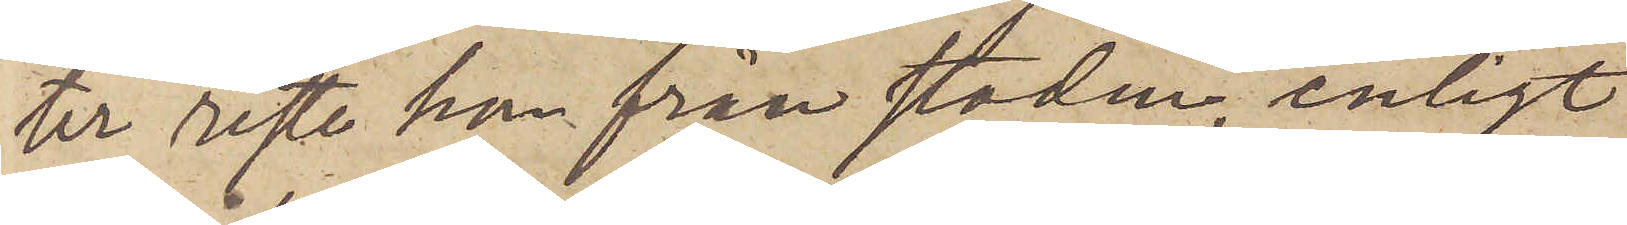ter reste hon från staden, enligt
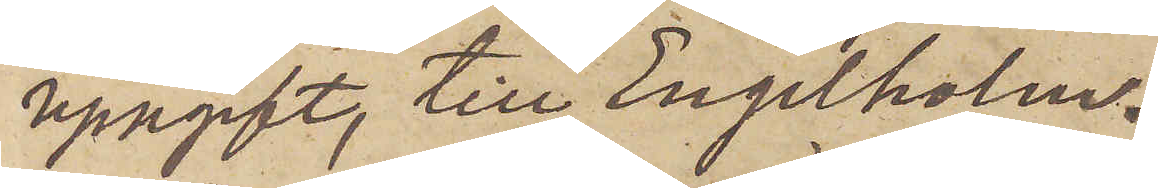uppgift, till Engelholm.
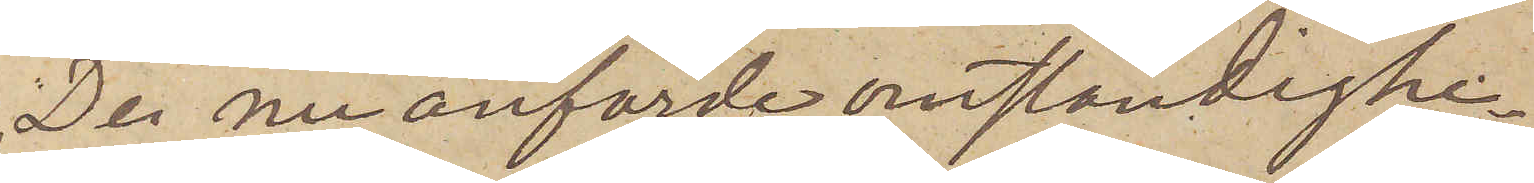De nu anförde omständighe¬
